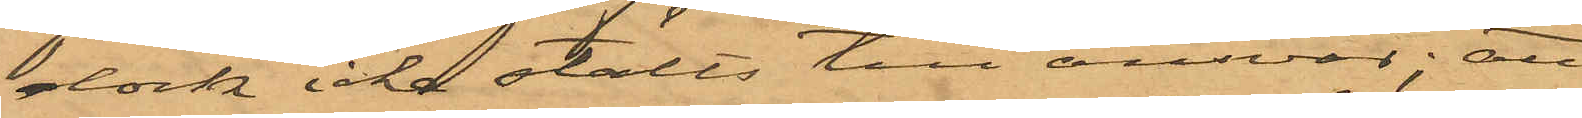dock icke ställts till ansvar; att
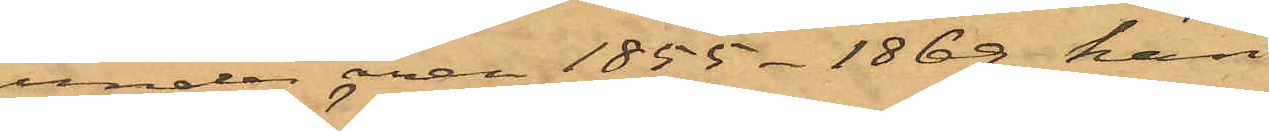under åren 1855 - 1869 han
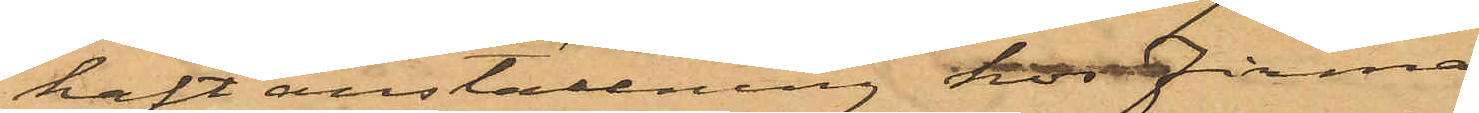haft anställning hos Firman
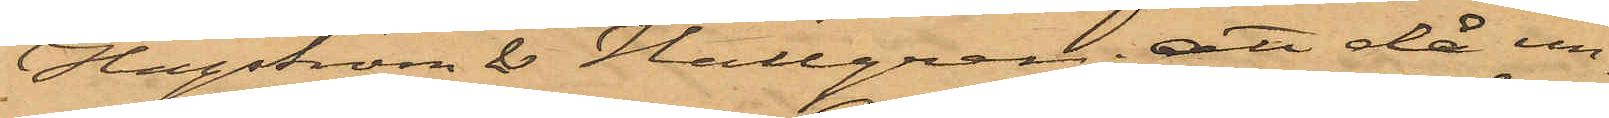Hagström & Hallgren; att då un¬
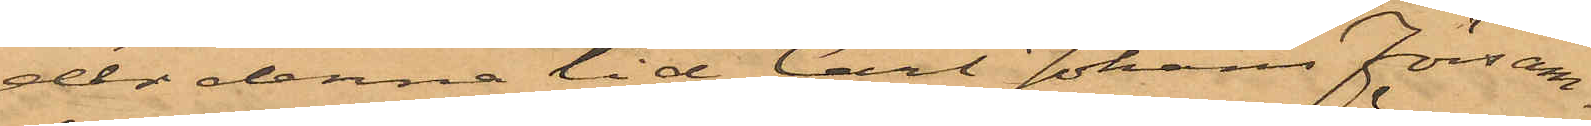der denna tid Carl Johans Försam¬
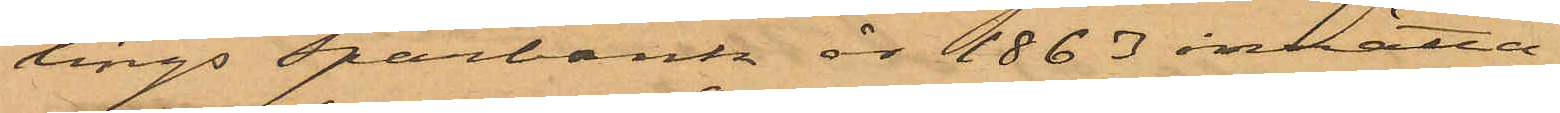lings Sparbank år 1863 inrätta¬
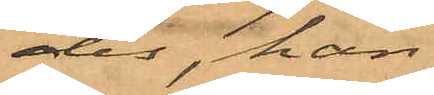des, han
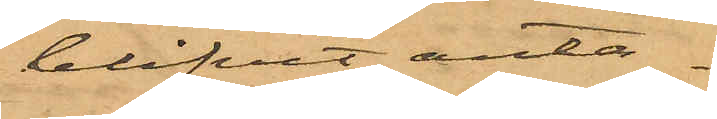blifvit anta¬
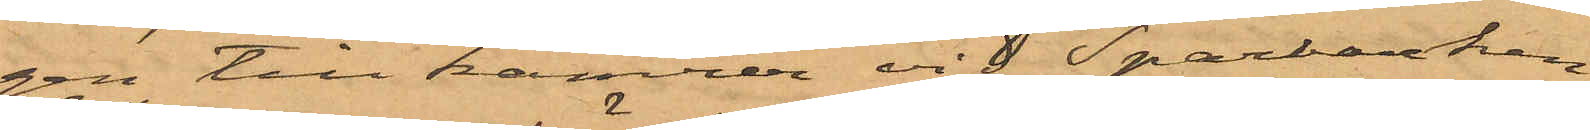gen till kamrer vid Sparbanken,
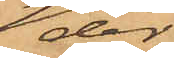der
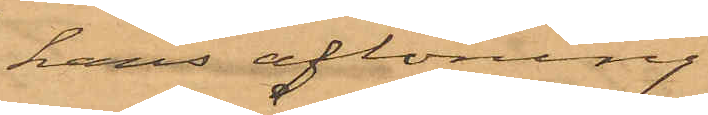hans aflöning
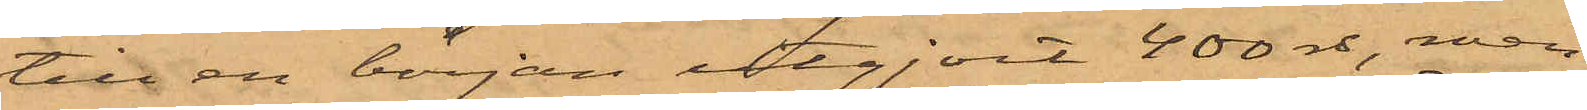till en början utgjort 400 rdr, men
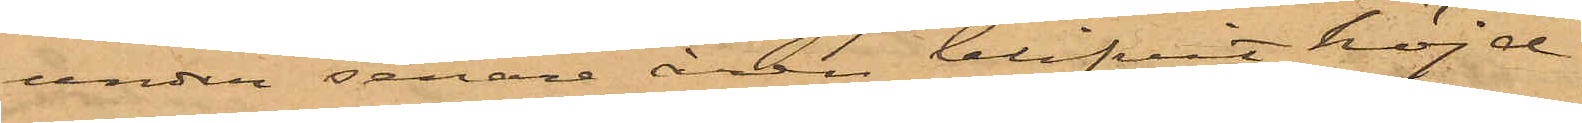under senare åren blifvit höjd
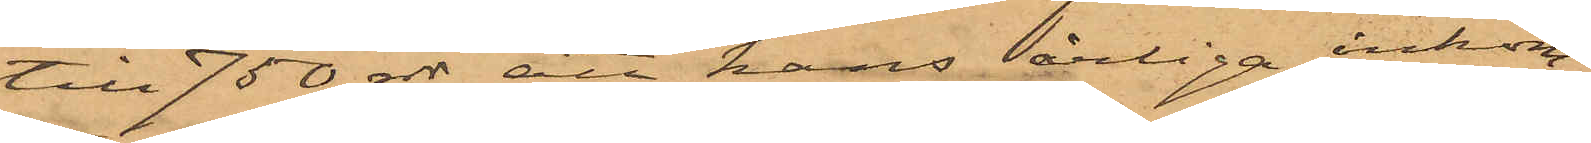till 750 rdr; att hans årliga inkom¬
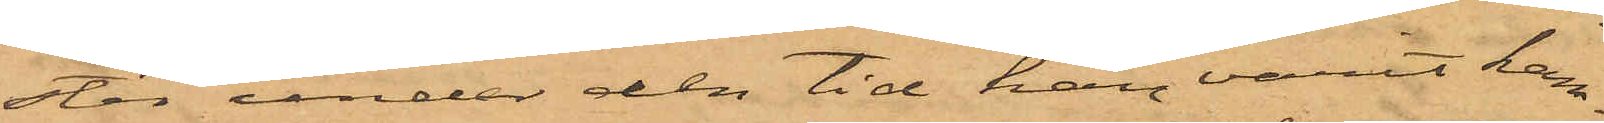ster under den tid han varit kam¬
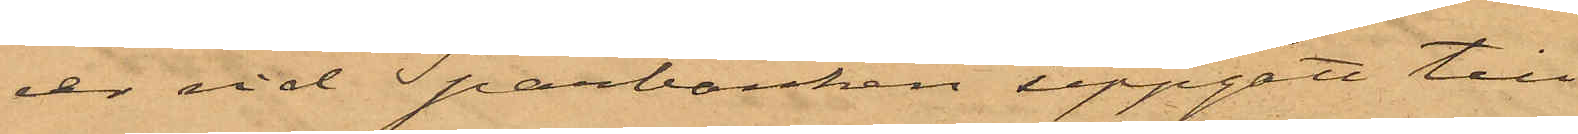rer vid Sparbanken uppgått till
